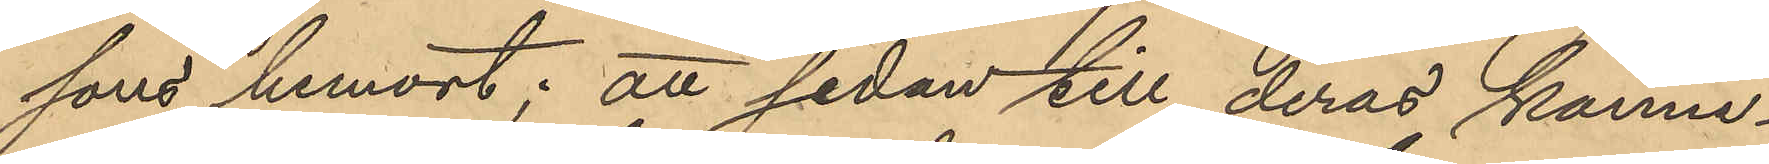sons hemort; att sedan till deras känne¬
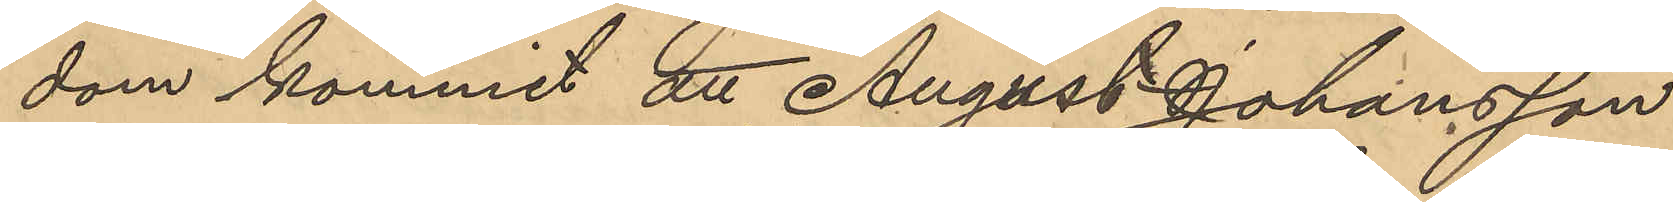dom kommit att August Johansson
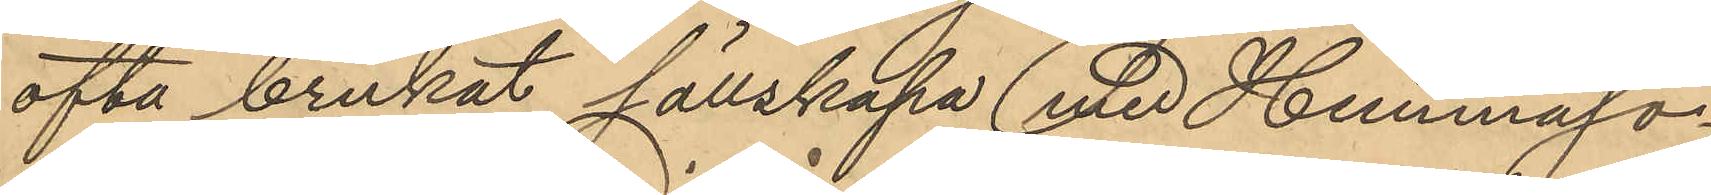ofta brukat sällskapa vid Hemmaso¬
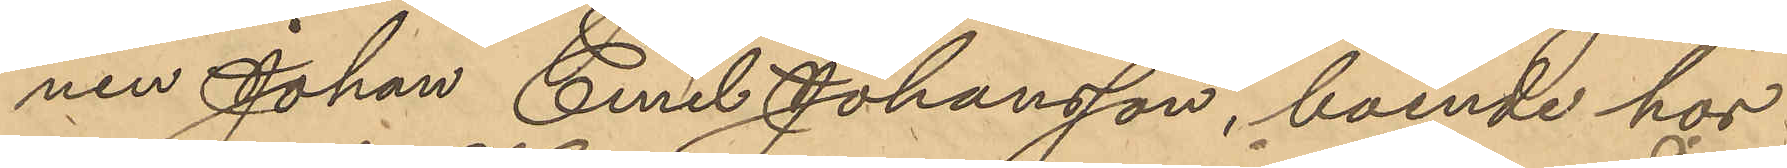nen Johan Emil Johansson, boende hos
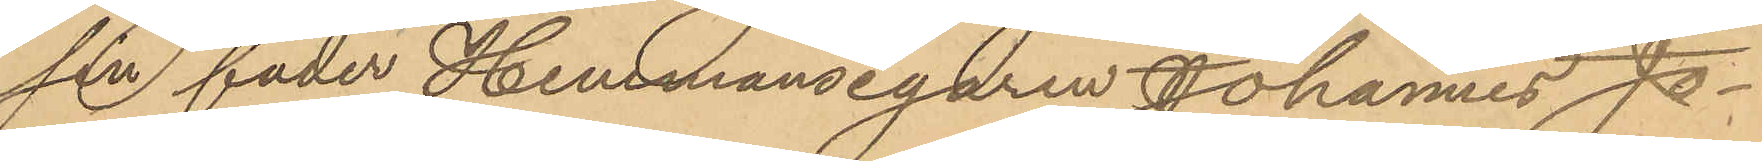sin fader Hemmansegaren Johannes Jo¬
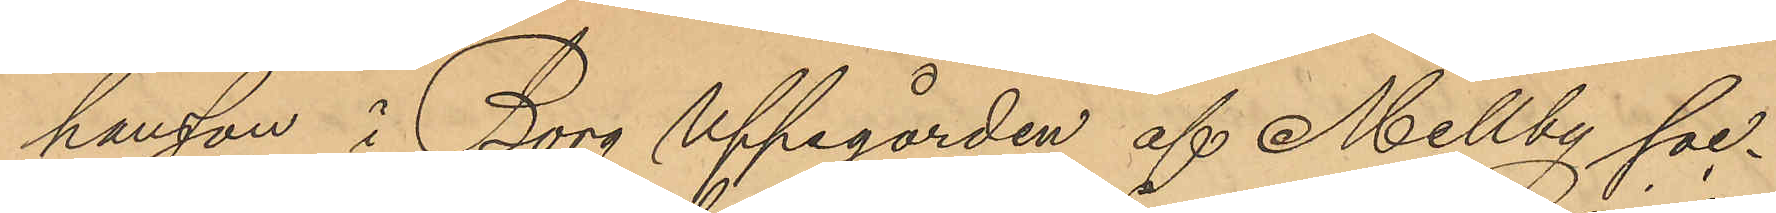hansson i Borg uppegården af Mellby soc¬
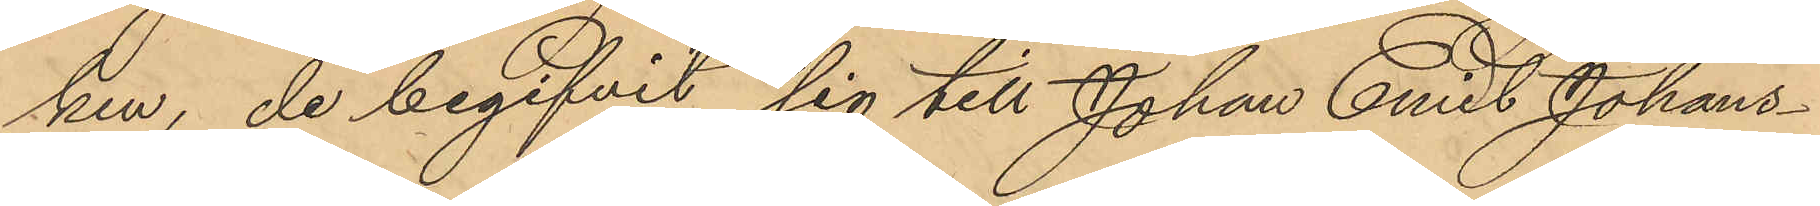ken, de begifvit sig till Johan Emil Johans¬
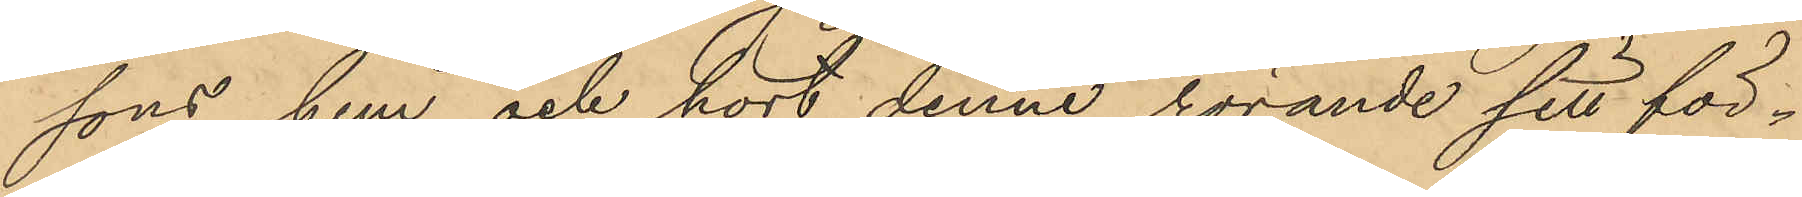sons hem och hort denne rörande sitt för¬
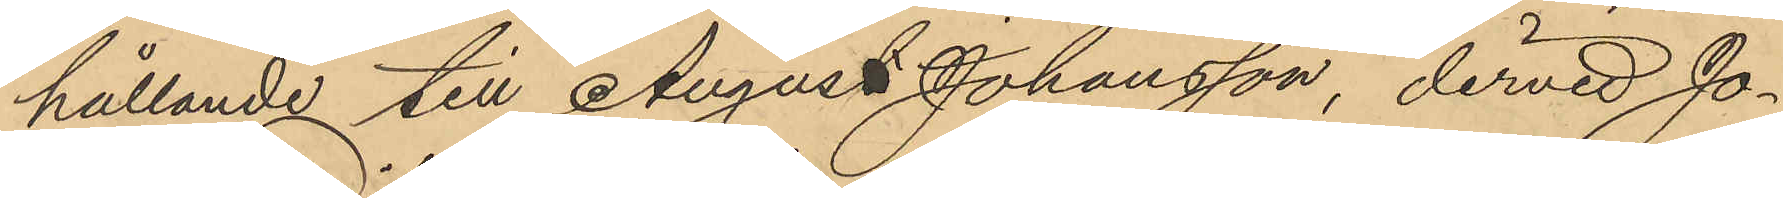hållande till August Johansson, dervid Jo¬
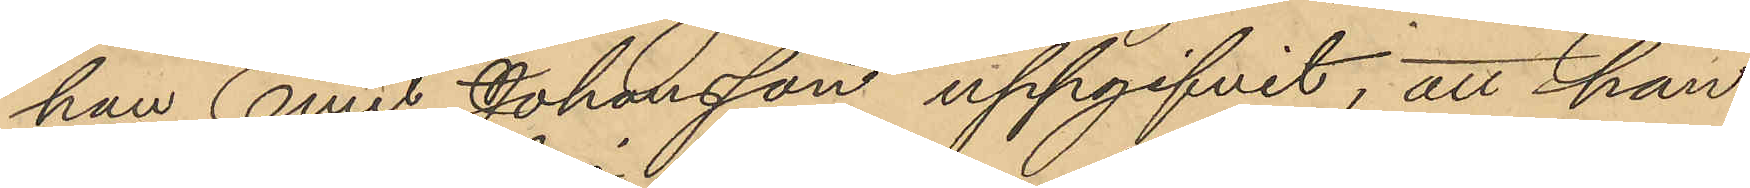han Emil Johansson uppgifvit; att han
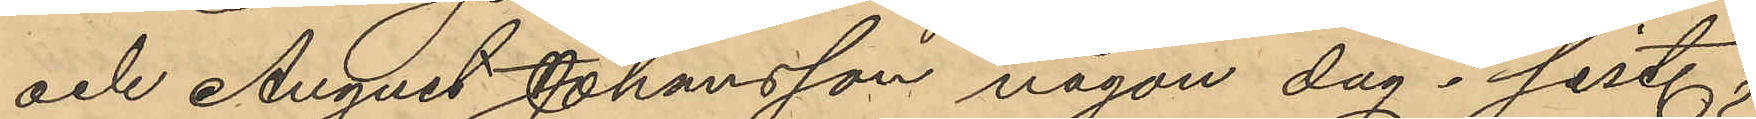och August Johansson någon dag sist.
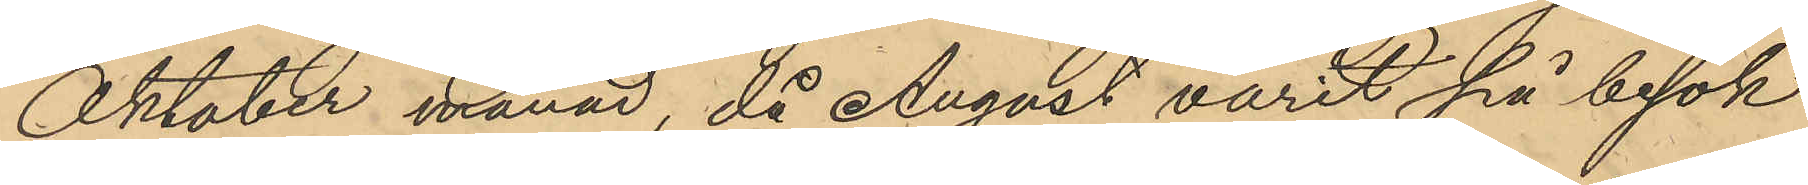Oktober månad, då August varit på besök
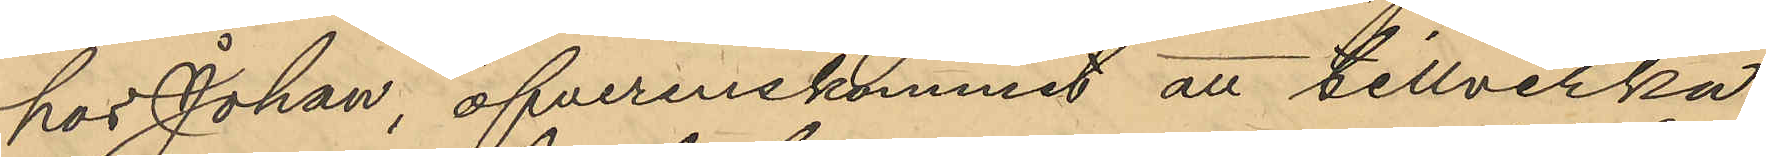hos Johan, öfverenskommit att tillverka
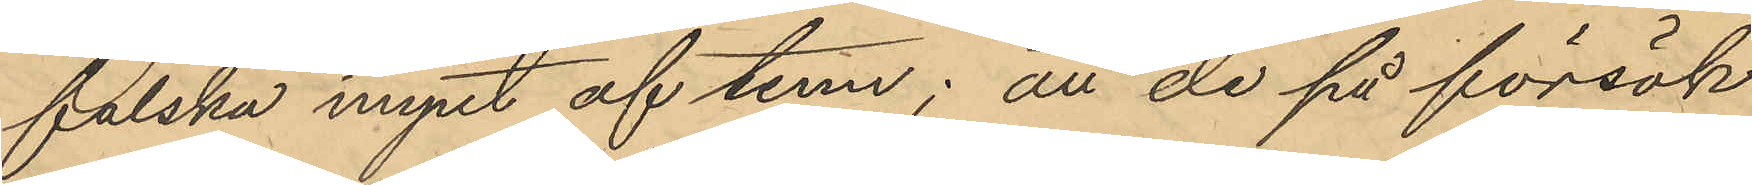falska mynt af tenn; att de på försök
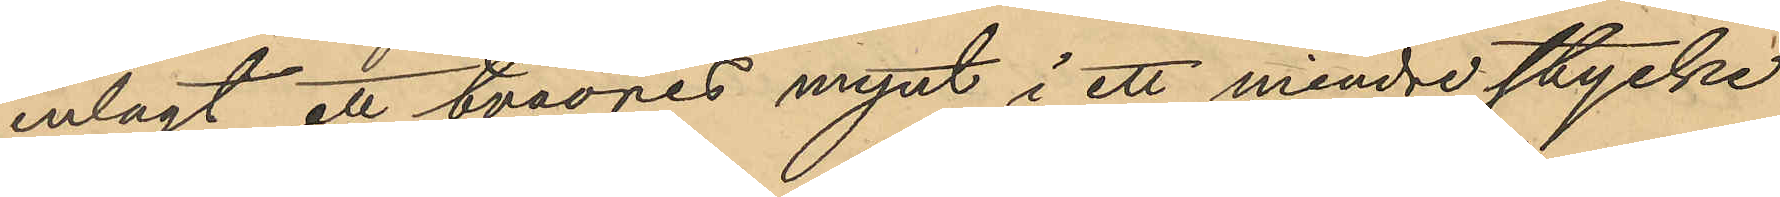inlagt ett tvåöres mynt i ett mindre stycke
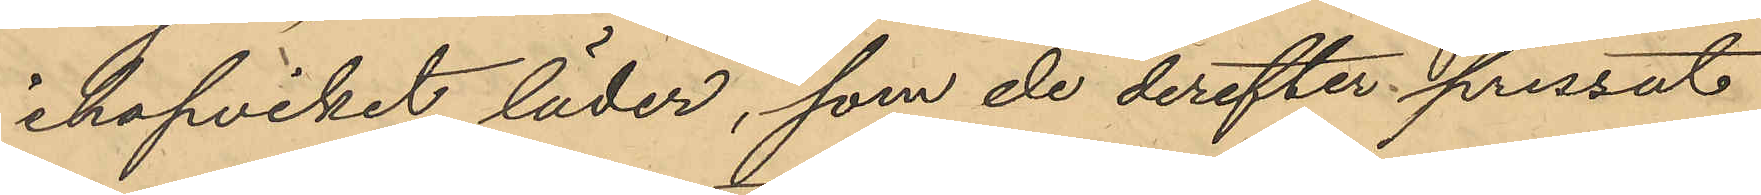ihopviket läder, som de derefter pressat
